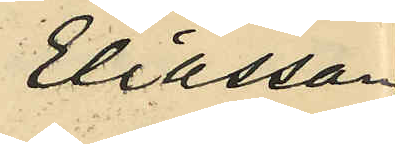Eliasson
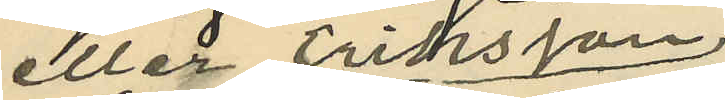eller Eriksson
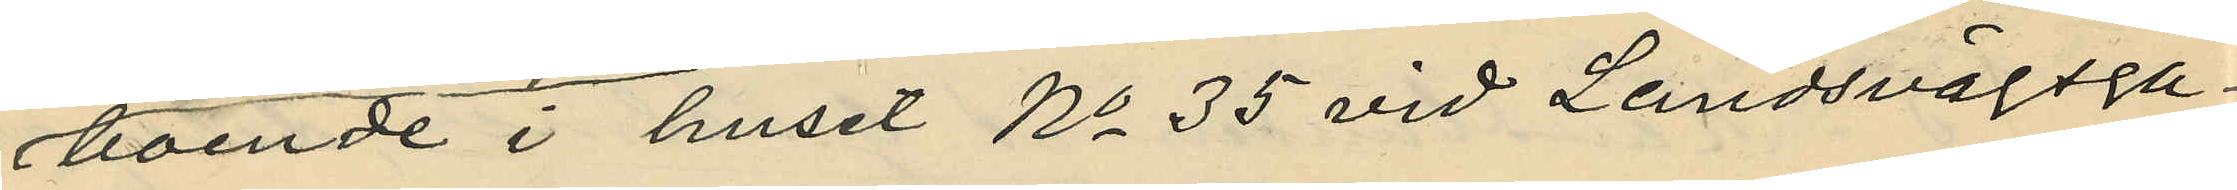boende i huset No 35 vid Landsvägsga¬
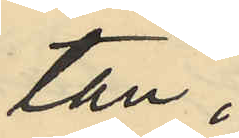tan;
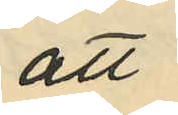att
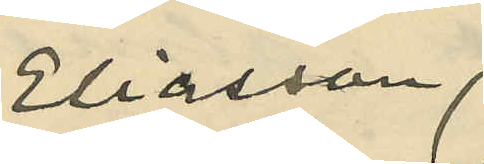Eliasson
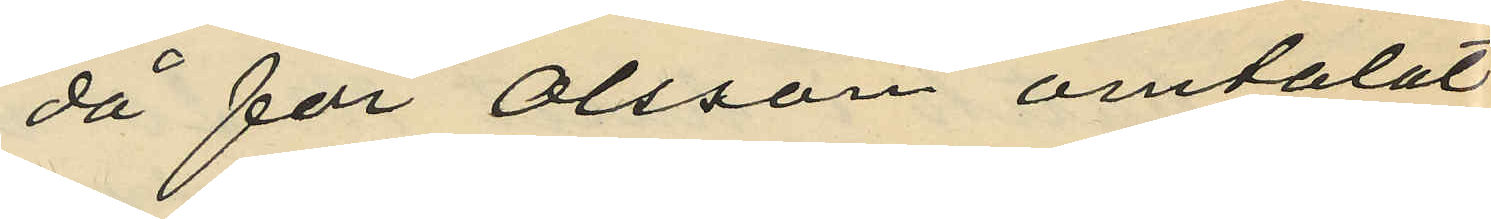då för Olsson omtalat
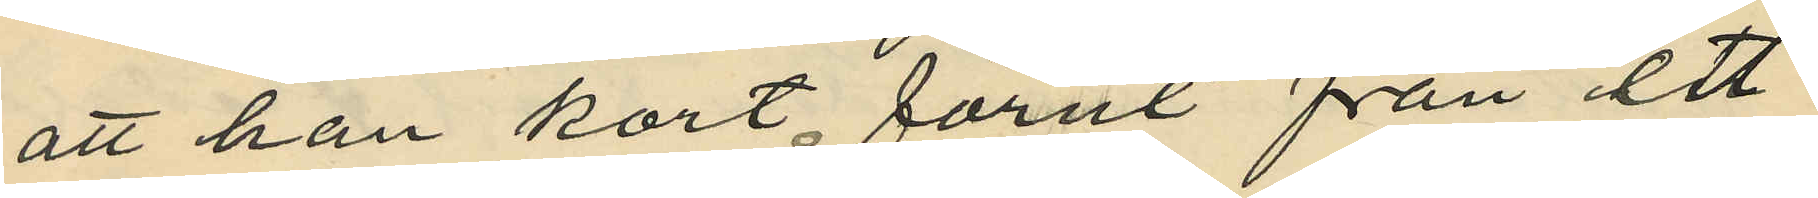att han kort förut från ett 
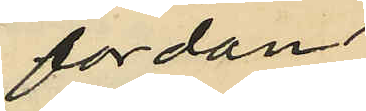fordon
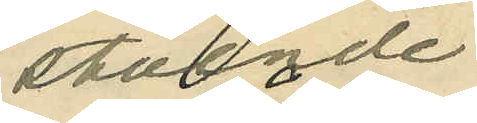stående
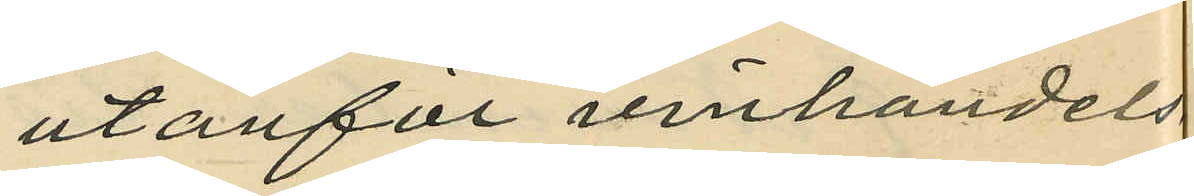utanför vinhandels¬
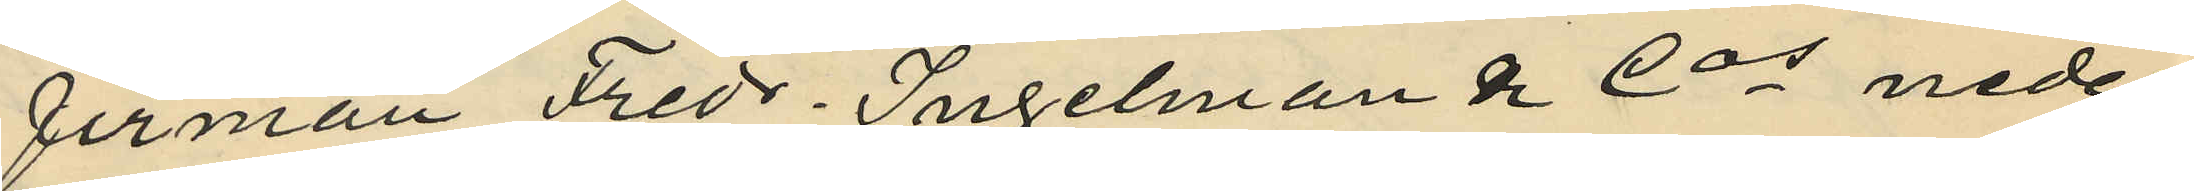firman Fredr. Ingelman & Cos neder¬
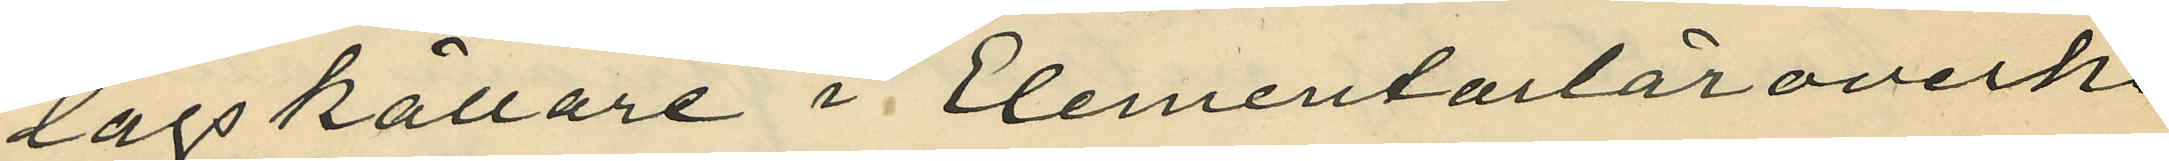lagskällare i Elementarläroverks¬
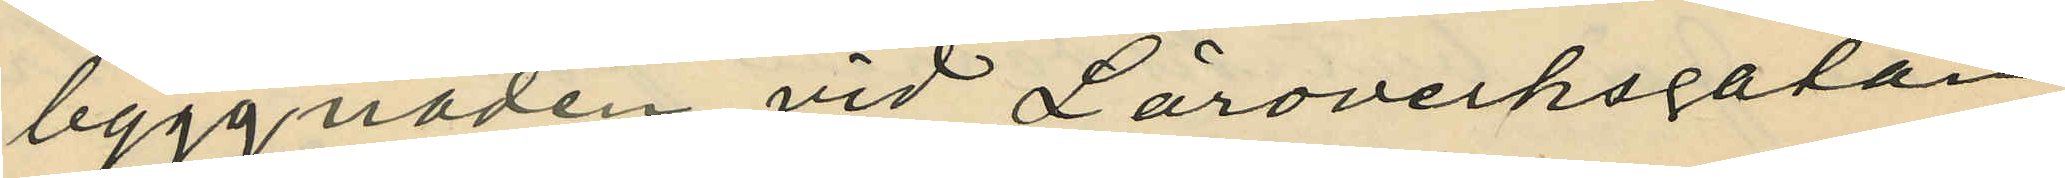byggnaden vid Läroverksgatan
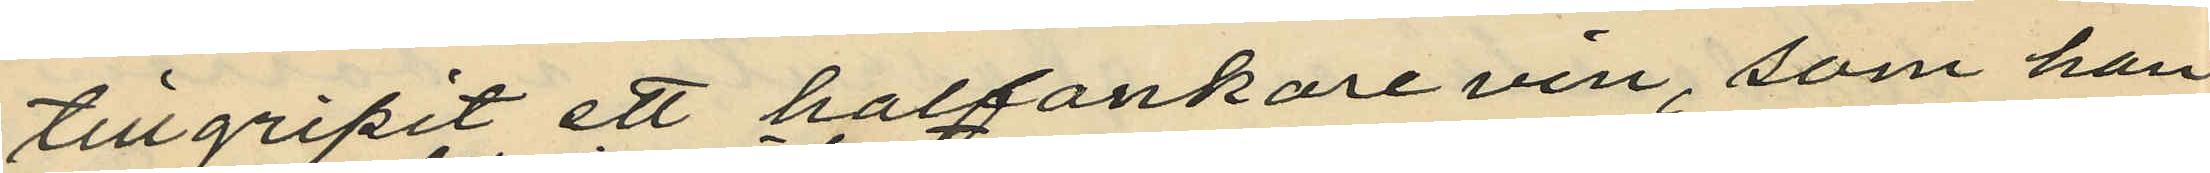tillgripit ett halfankare vin, som han
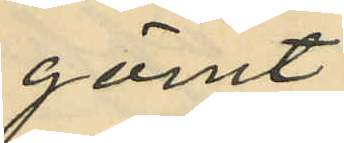gömt
